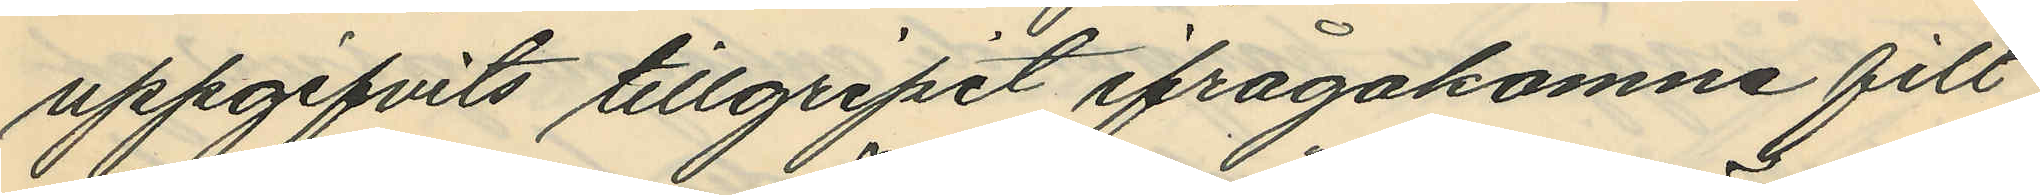uppgifvits tillgripit ifrågakomne filt,
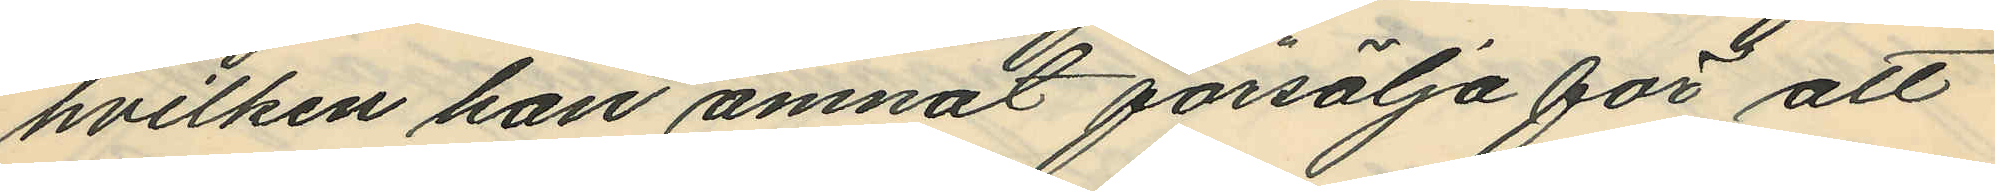hvilken han ämnat försälja för att
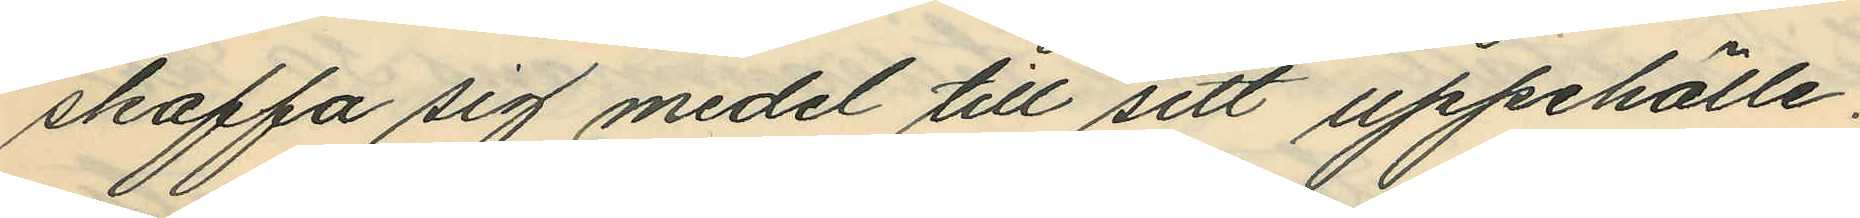skaffa sig medel till sitt uppehälle.
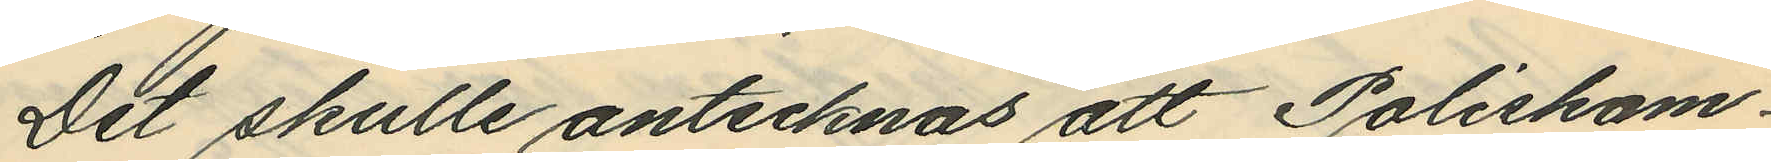Det skulle antecknas att Poliskam¬
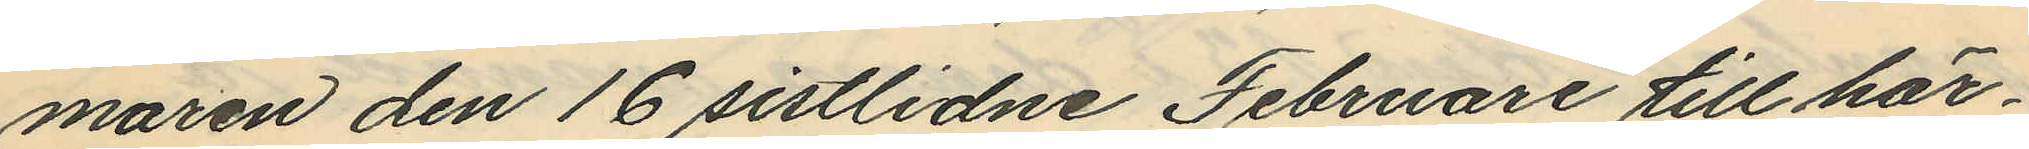maren den 16 sistlidne Februari till här¬
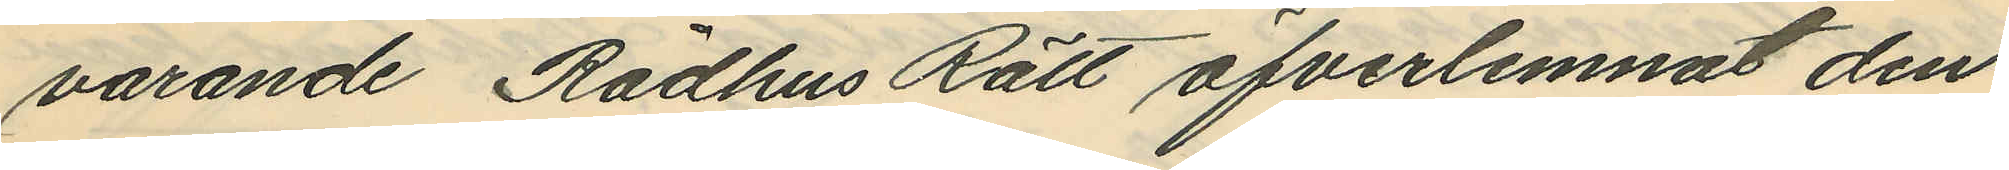varande Rådhus Rätt öfverlemnat den
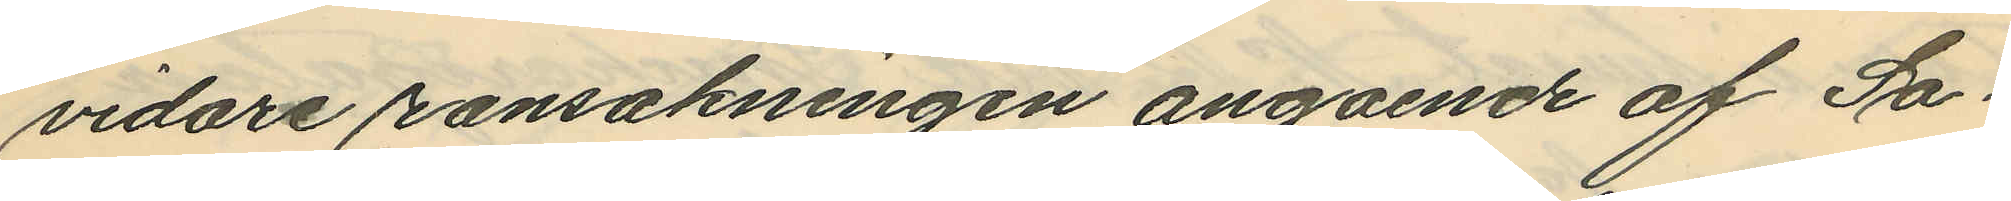vidare ransakningen angaende af Sa¬
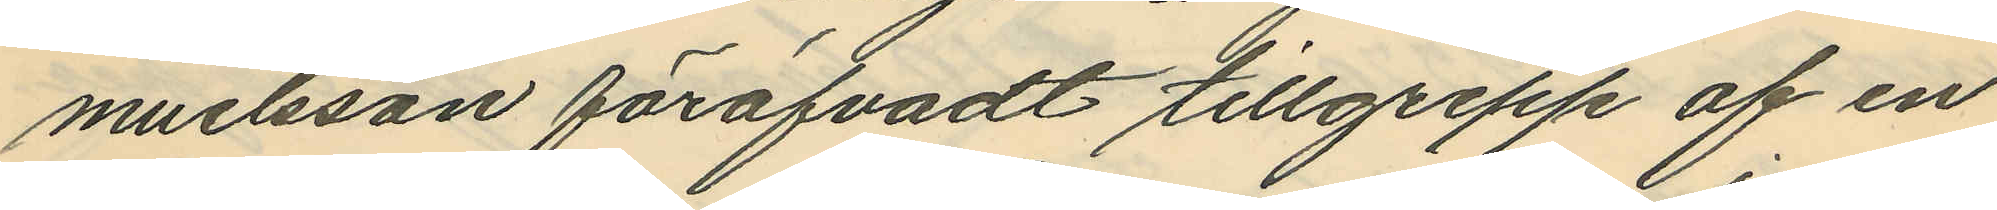muelsson föröfvadt tillgrepp af en
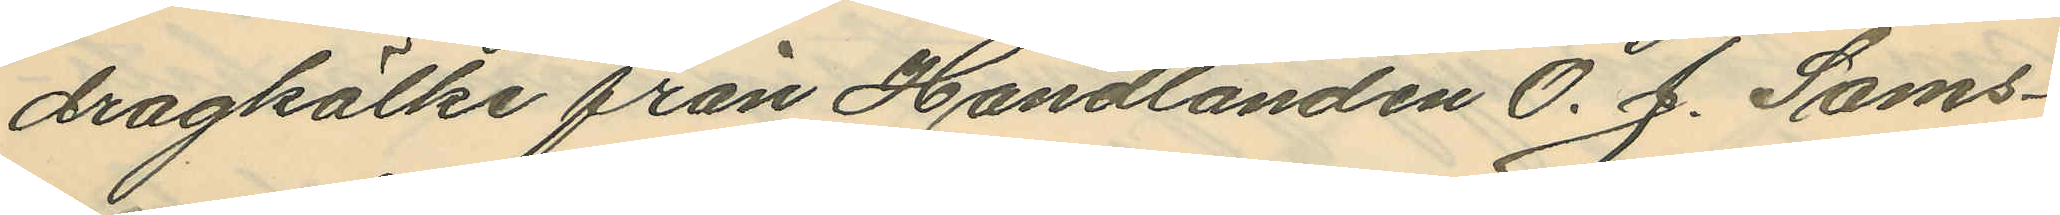dragkälke från Handlanden O. J. Sams¬
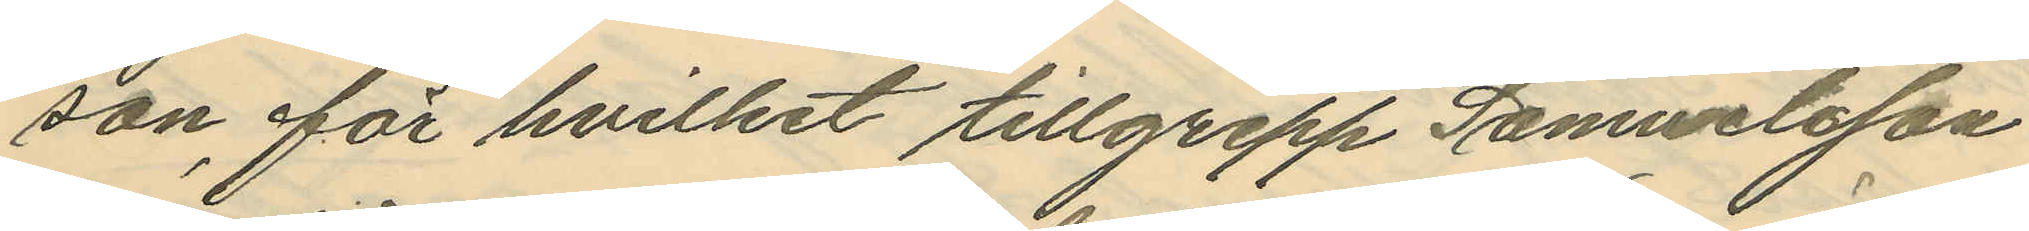son för hvilket tillgrepp Samuelsson
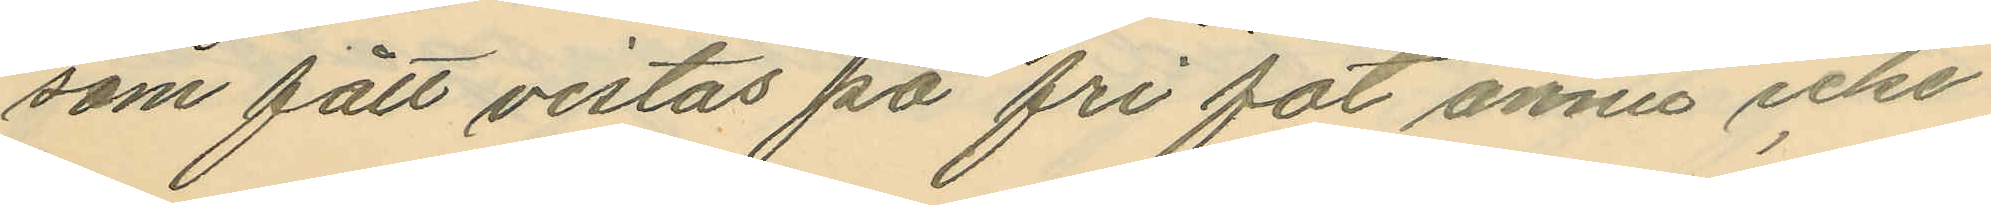som fått vistas på fri fot ännu icke
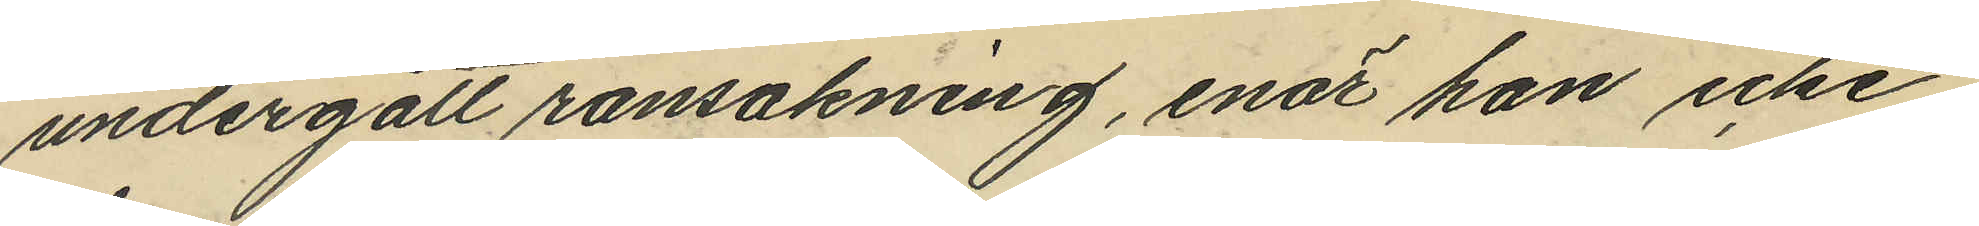undergått ransakning, enär han icke
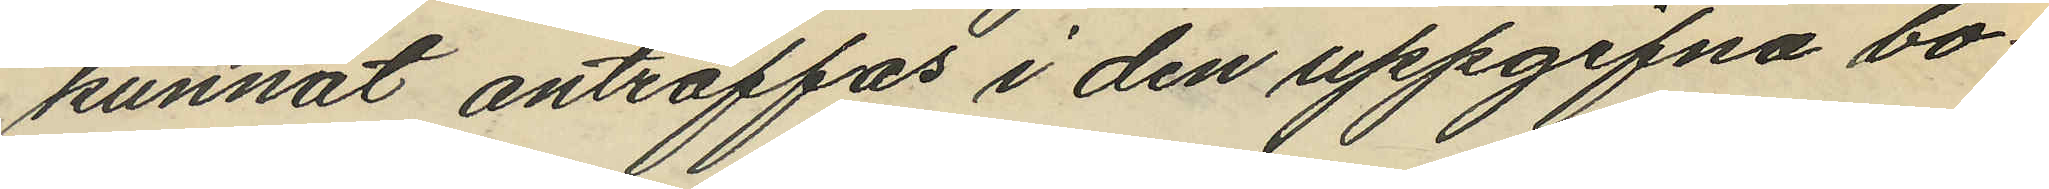kunnat anträffas i den uppgifna bo¬
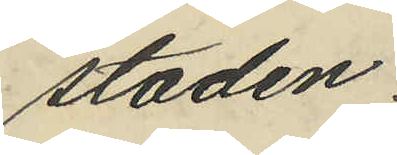staden.
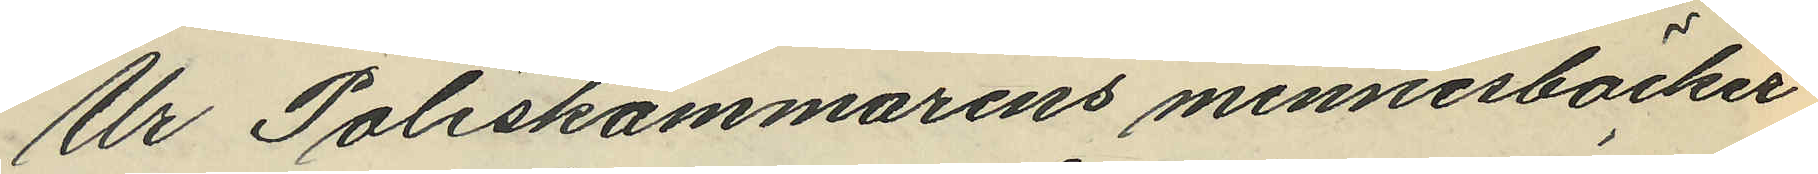Ur Poliskammarens minnesböcker
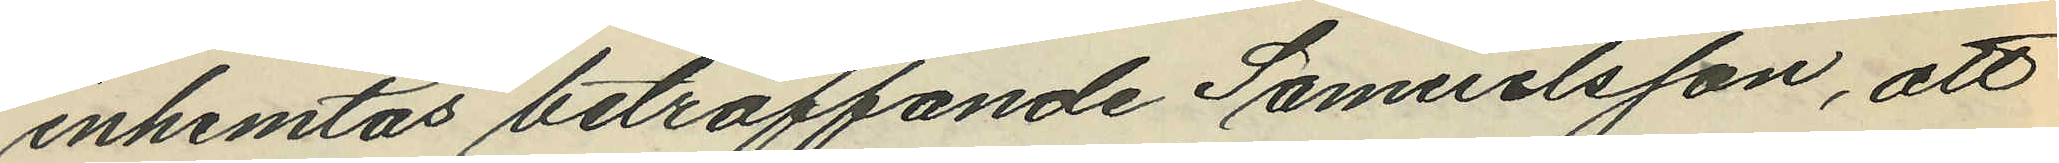inhemtas beträffande Samuelsson, att
